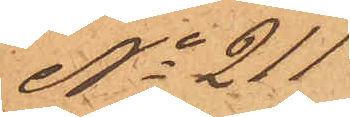No 211
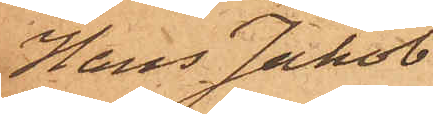Hans Jakob
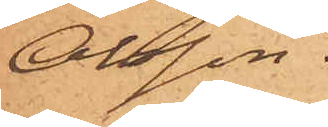Olsson.
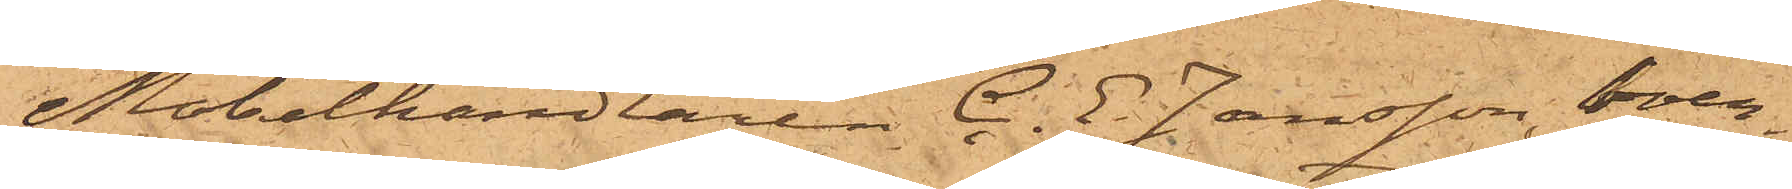Möbelhandlaren C. E. Jansson, boen¬
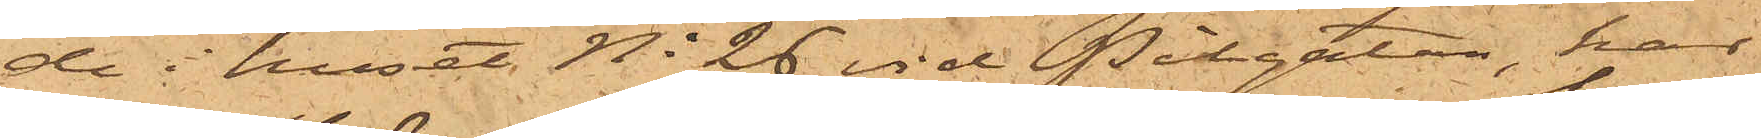de i huset No 26 vid Pilgatan, har
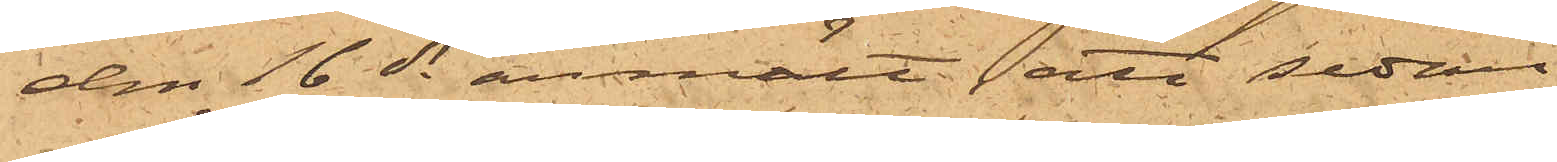den 16 ds anmält, att sedan
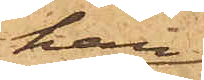han
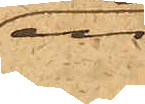en
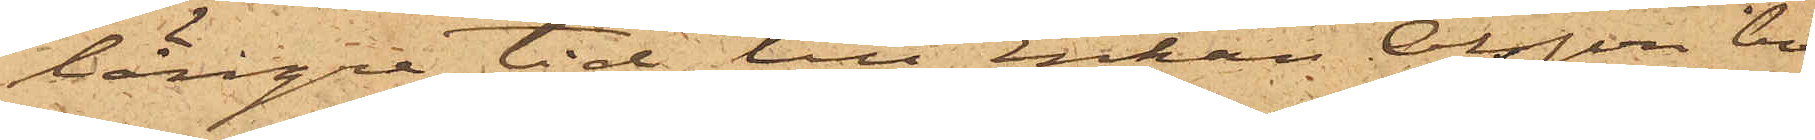längre tid till Enkan Olsson bo¬
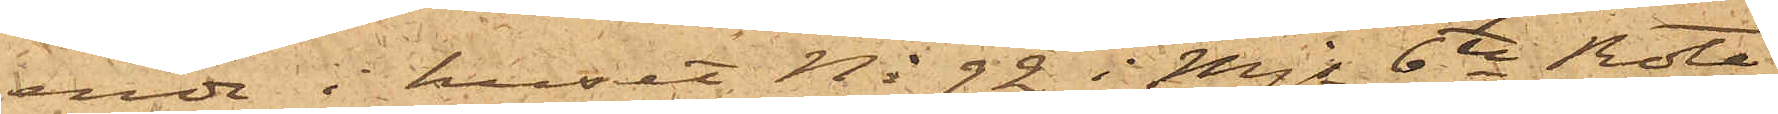ende i huset No 92 i Mjs 6te Rote
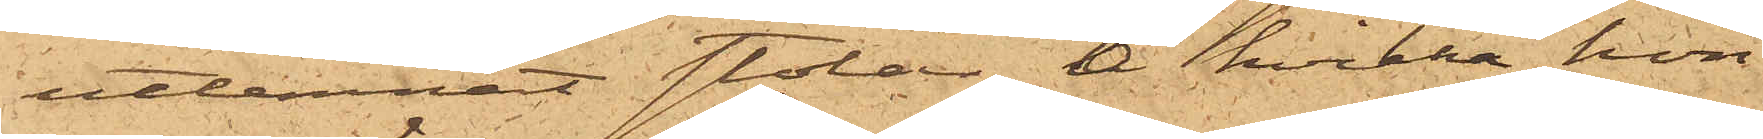utlemnat stolar, å hvilka hon
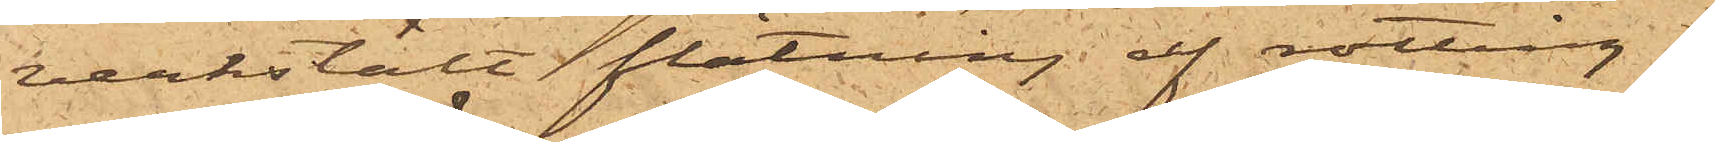verkstält flätning af rotting i
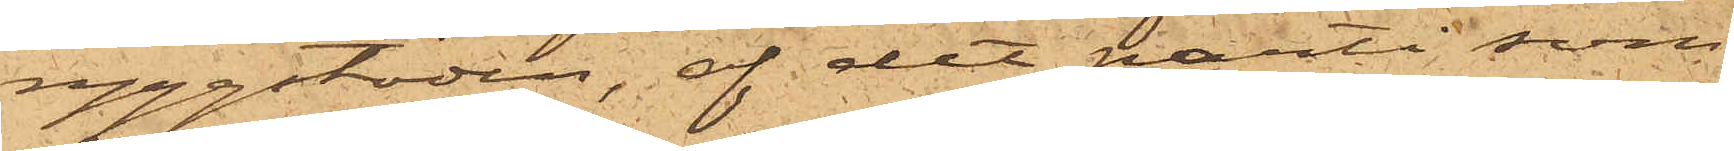ryggstöden, af det parti som
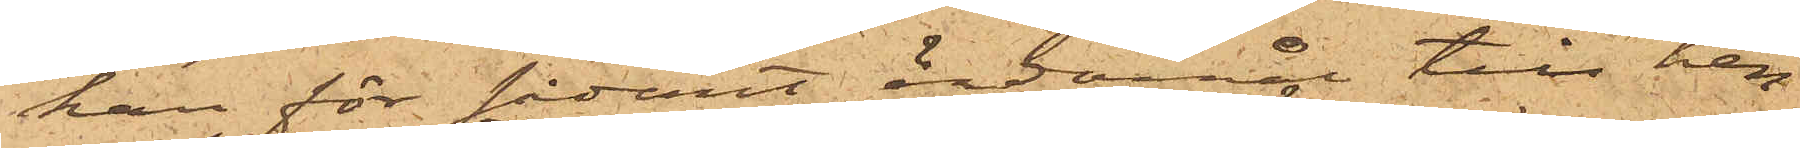han för sådant ändamål till hen¬
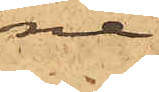ne
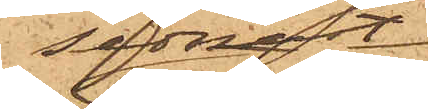sednast
